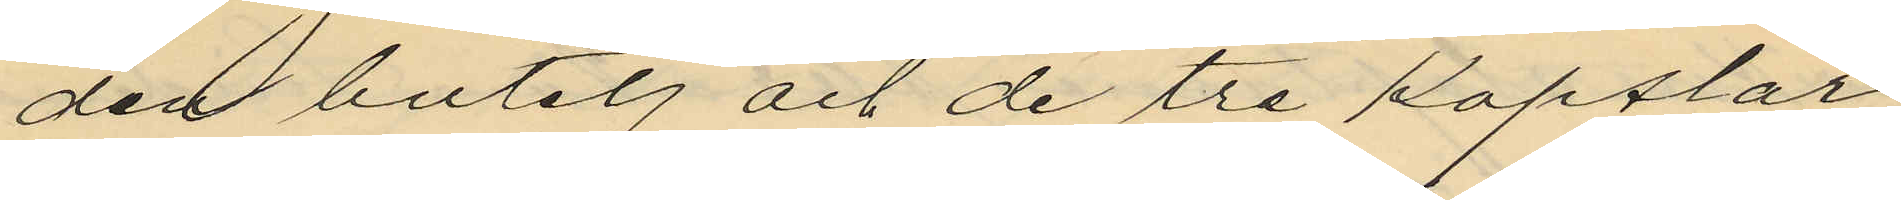den butelj och de tre Kapslar,
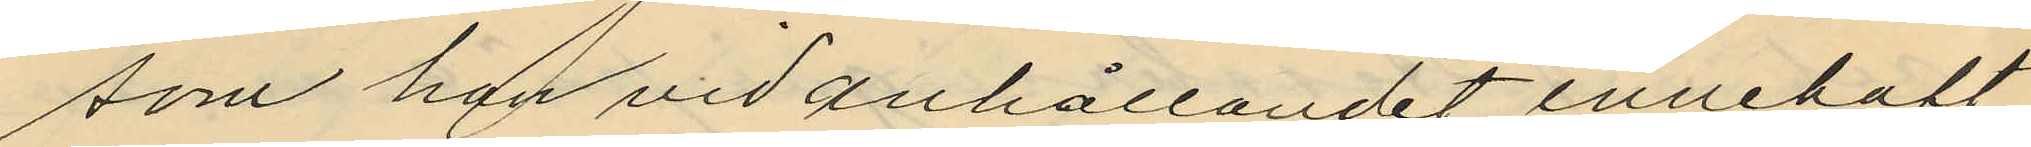som han vid anhållandet innehaft,
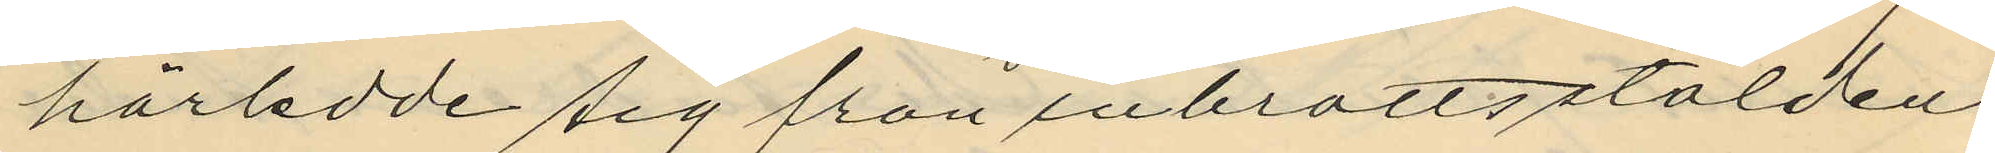härledde sig från inbrottsstölden
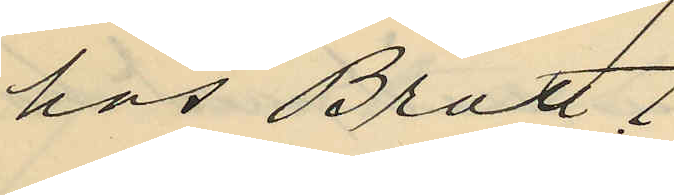hos Bratt.
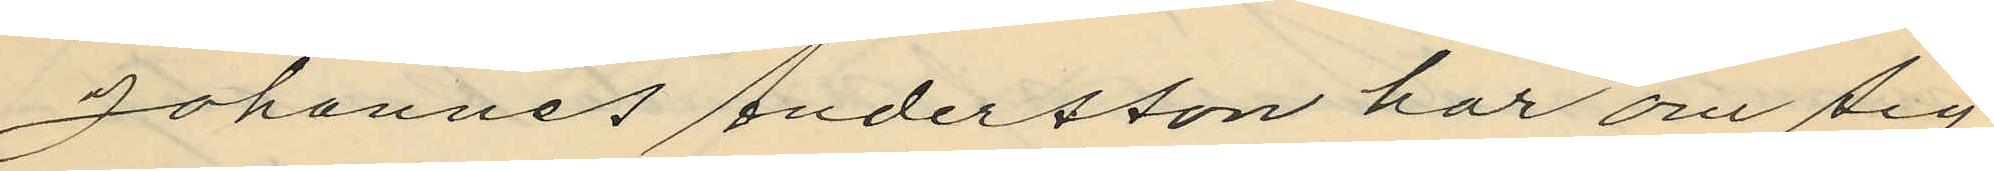Johannes Andersson har om sig
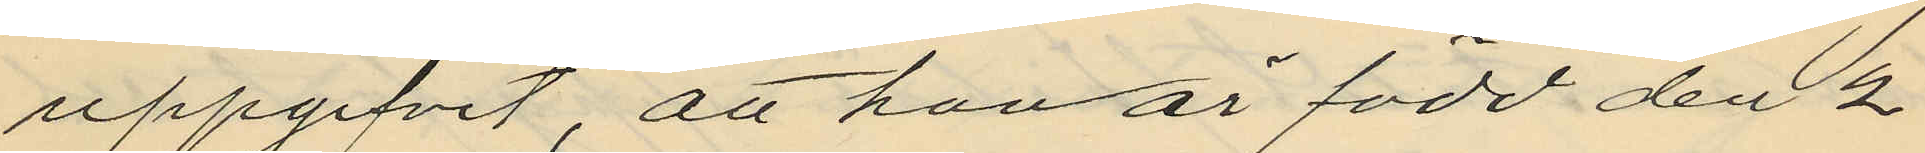uppgifvit, att han är född den 2
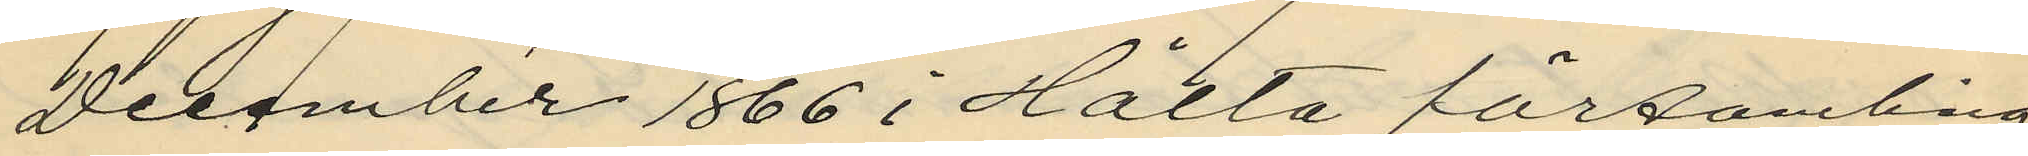December 1866 i Hålta församling
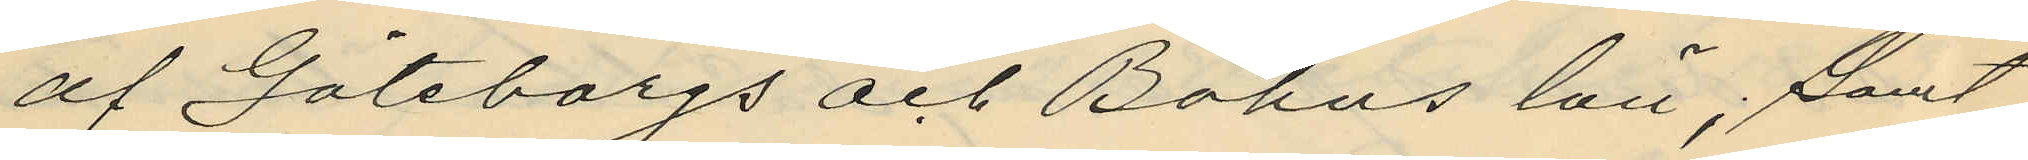af Göteborgs och Bohus län; samt
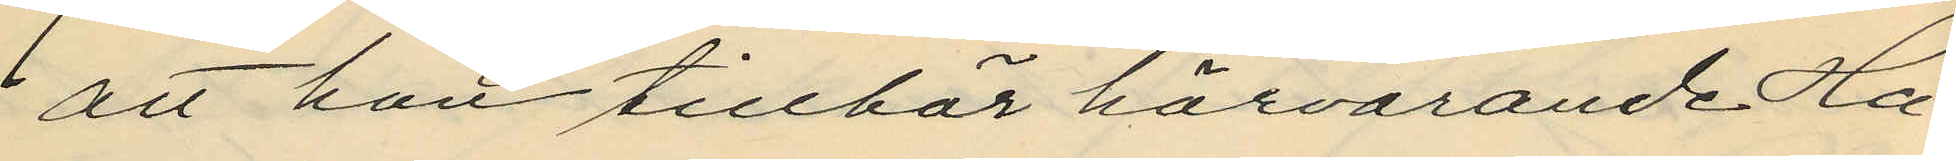att han tillhör härvarande Ha¬
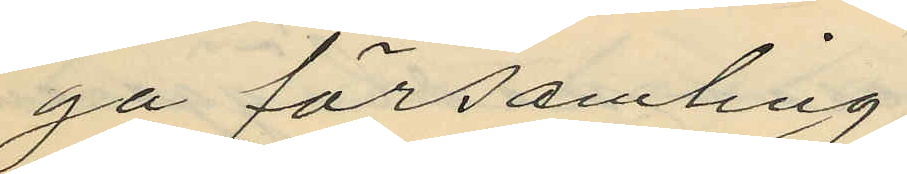ga församling.
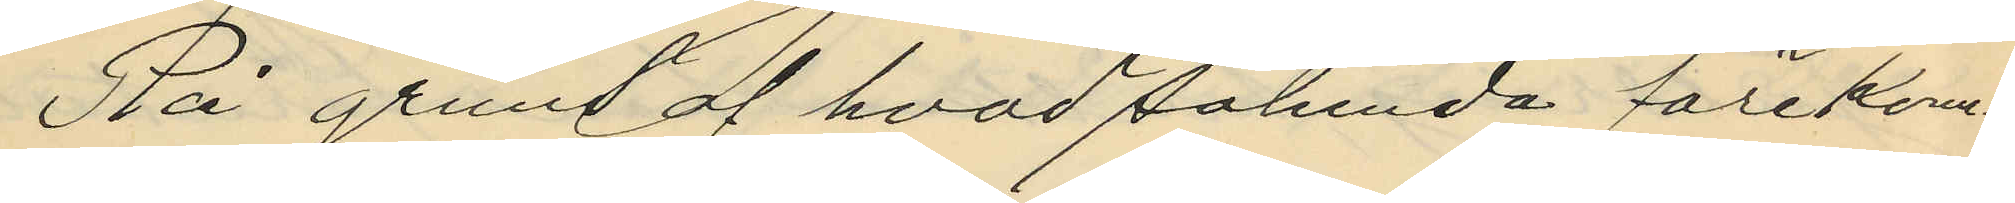På grund af hvad sålunda förekom¬
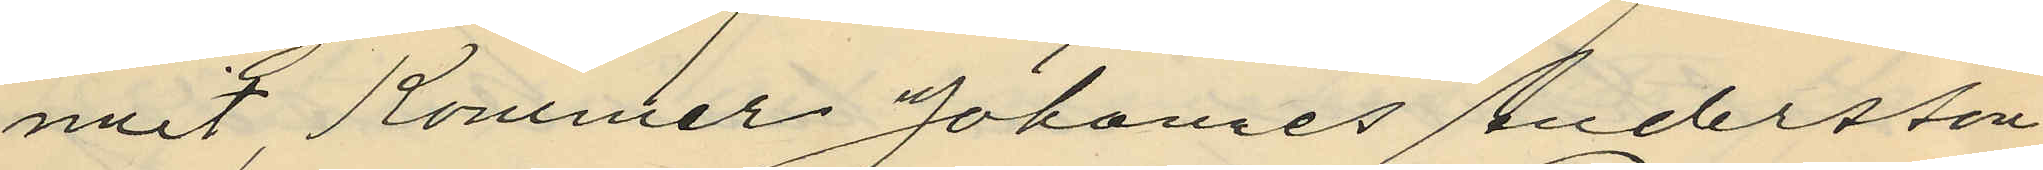mit, Kommer Johannes Andersson
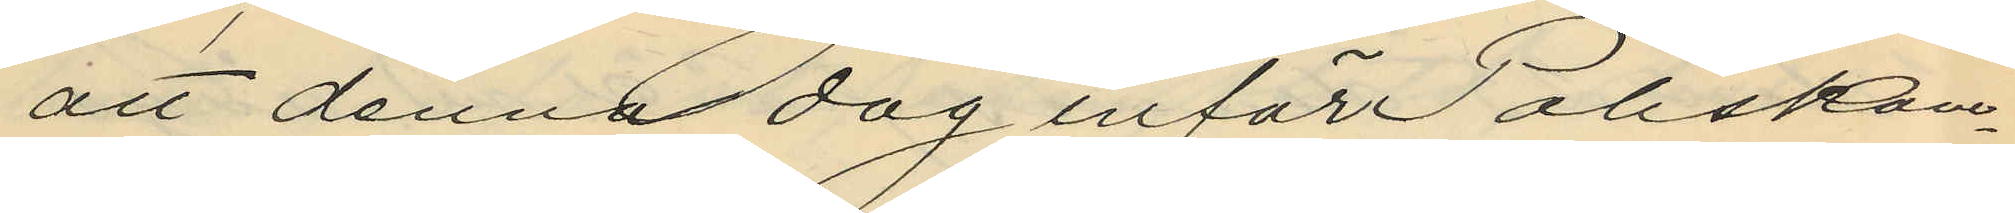att denna dag inför Poliskam¬
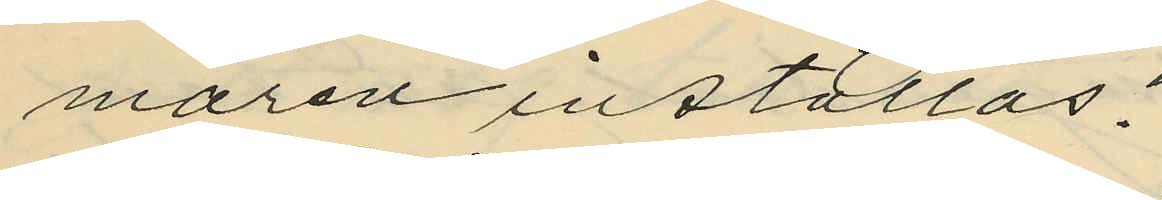maren inställas.
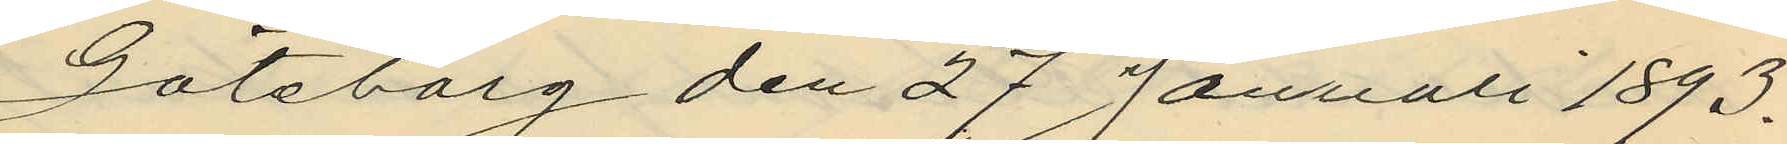Göteborg den 27 Januari 1893.
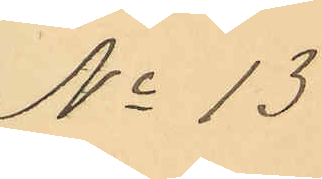No 13
